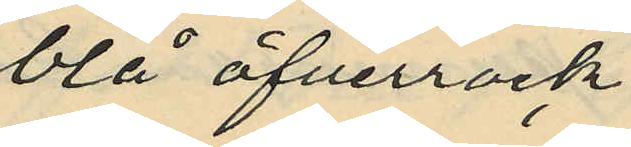blå öfverrock
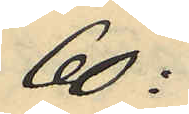60:
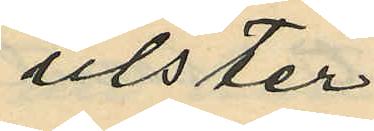ulster
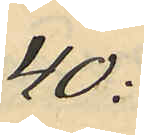40:
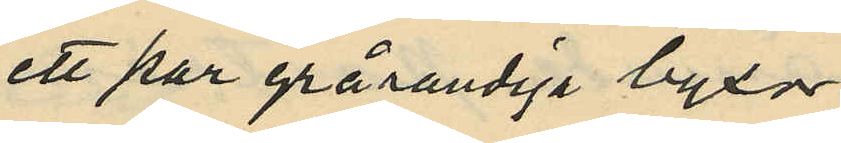ett par grårandiga byxor
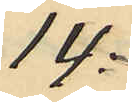14:
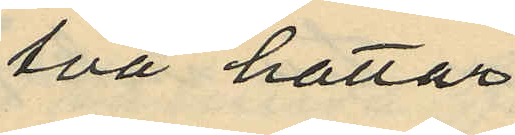två hattar
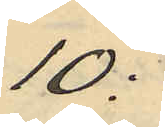10:
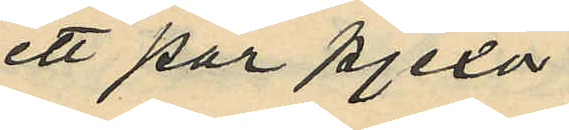ett par pjexor
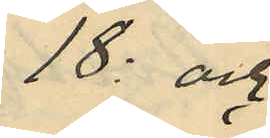18: och
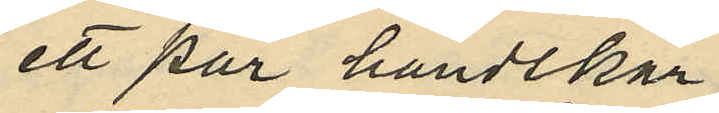ett par handskar
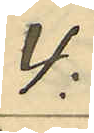4:
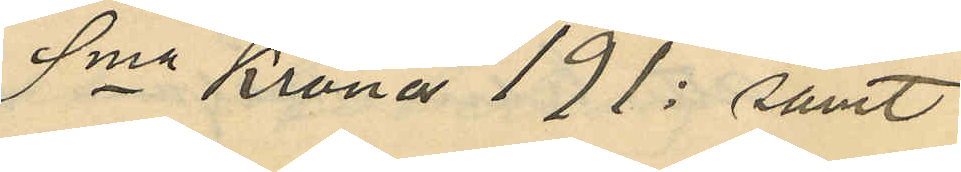Sma Kronor 191: samt
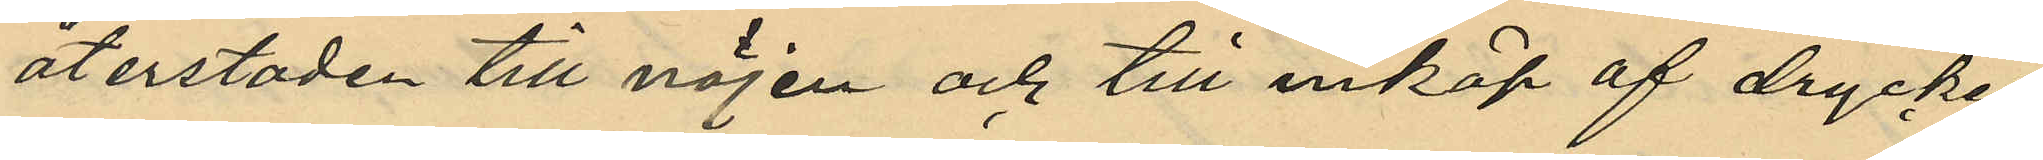återstoden till nöjen och till inköp af dryckes¬
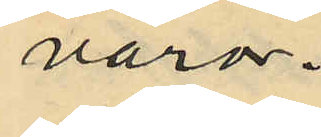varor.
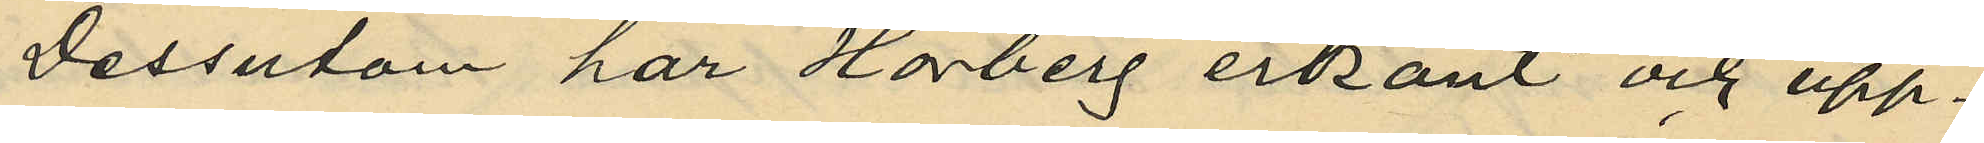Dessutom har Hörberg erkänt och upp¬
